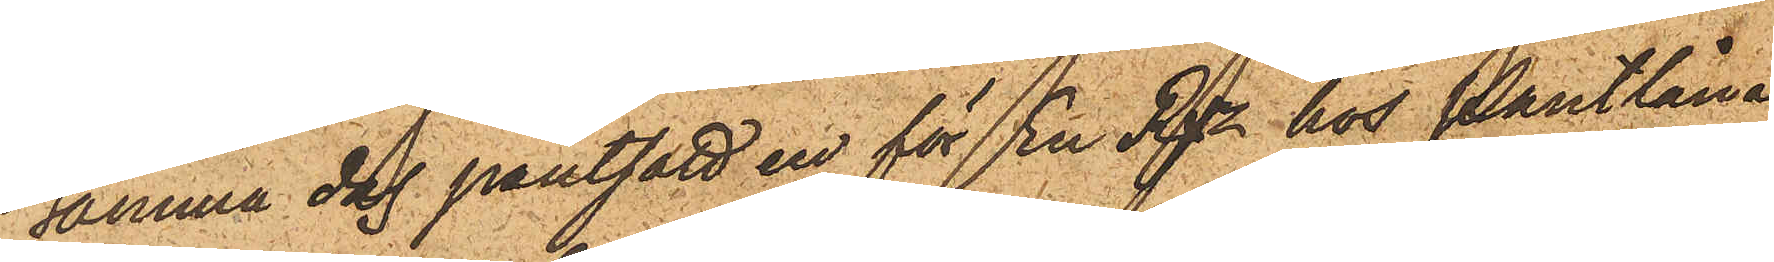samma dag pantsatt en för En Rdr hos Pantlåna¬
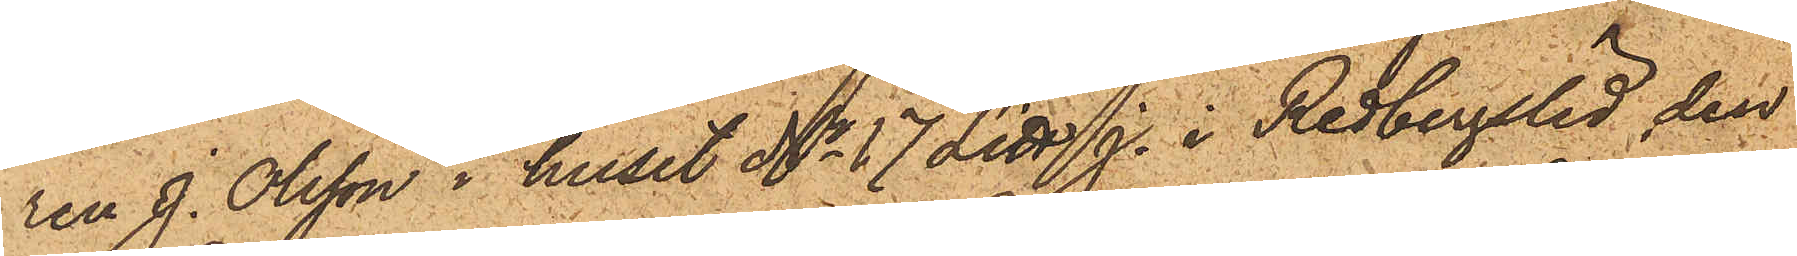ren J. Olsson i huset No 17 Litt. J. i Redbergslid, den
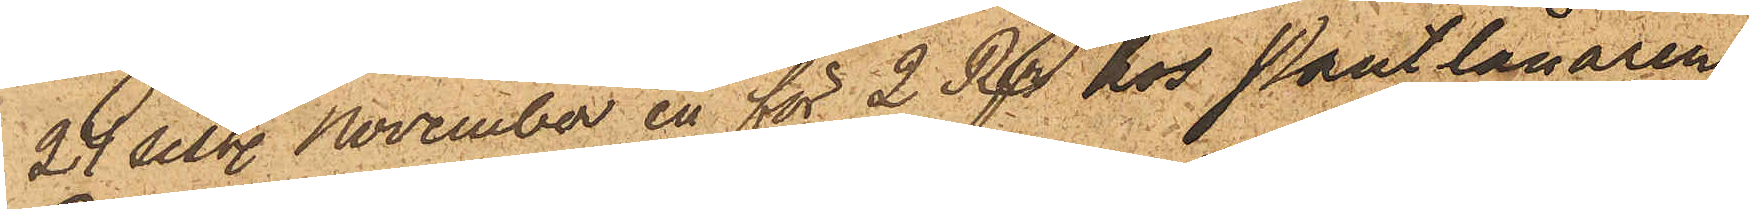24 sist. November en för 2 Rdr hos Pantlånaren
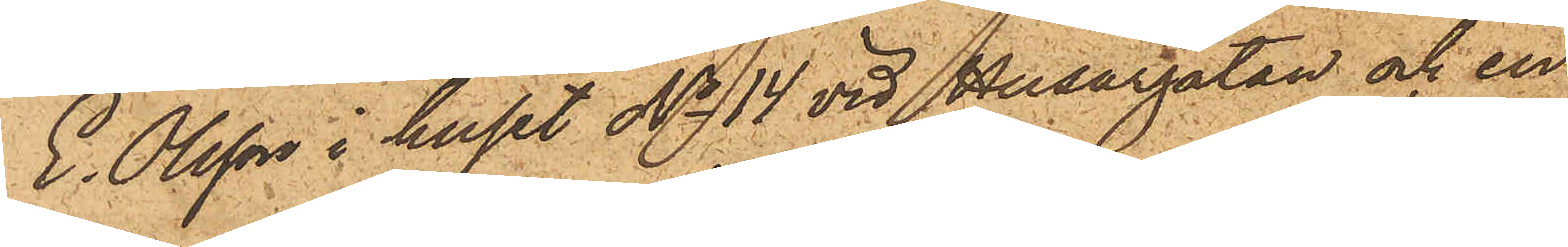E. Olsson i huset No 14 vid Husargatan och en
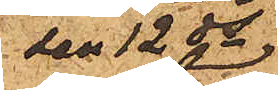den 12 ds
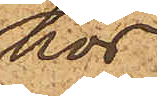hos
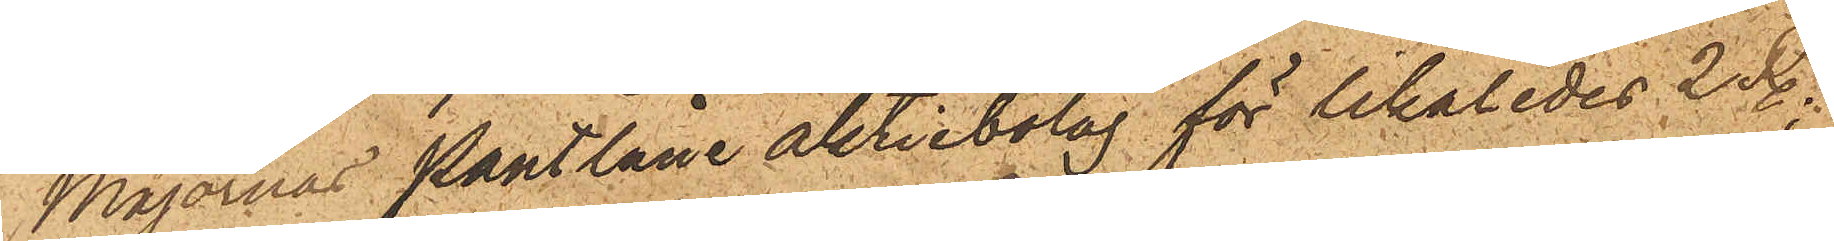Majornas Pantlåneaktiebolag för likaledes 2 Rdr;
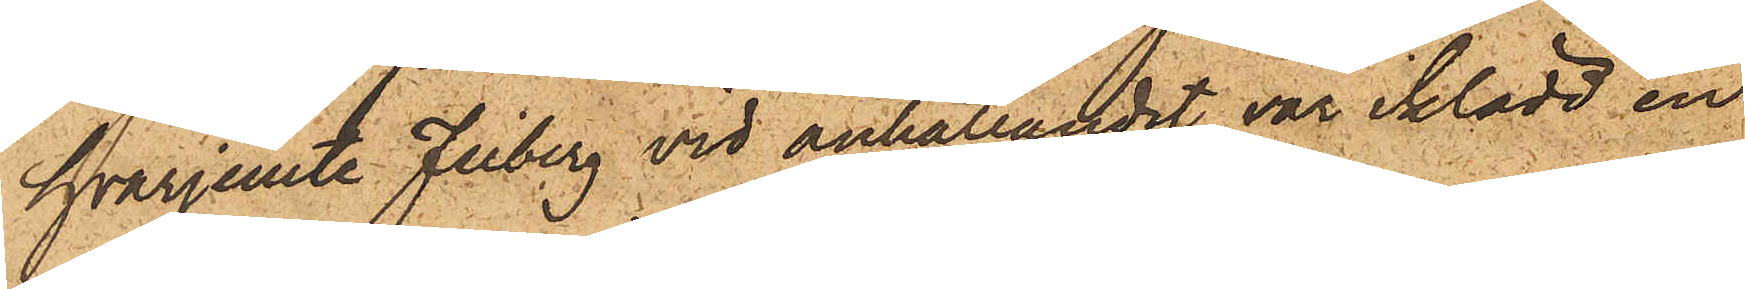hvarjemte Friberg vid anhållandet var iklädd en
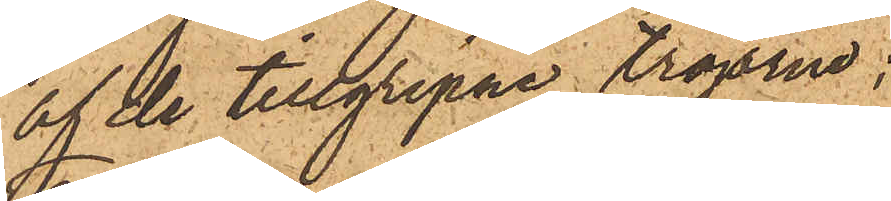af de tillgripna tröjorna.
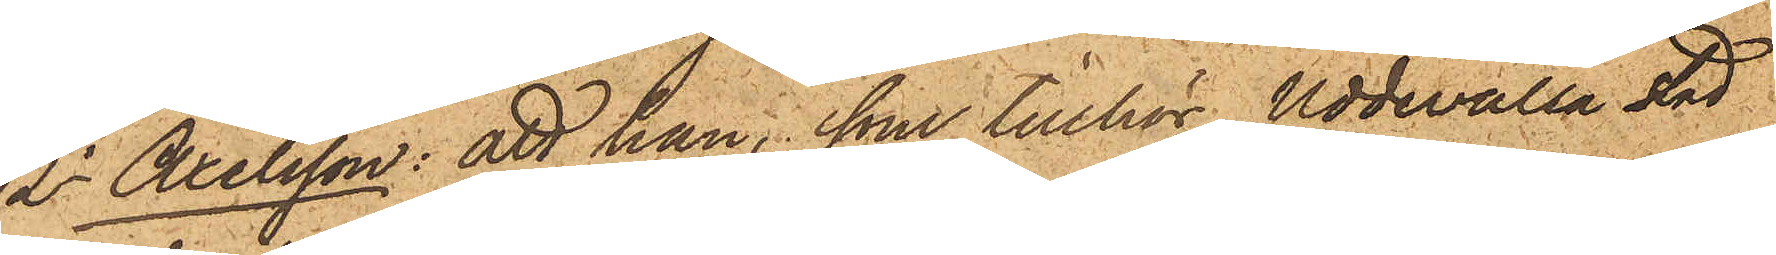2o Axelsson: att han, som tillhör Uddevalla stad
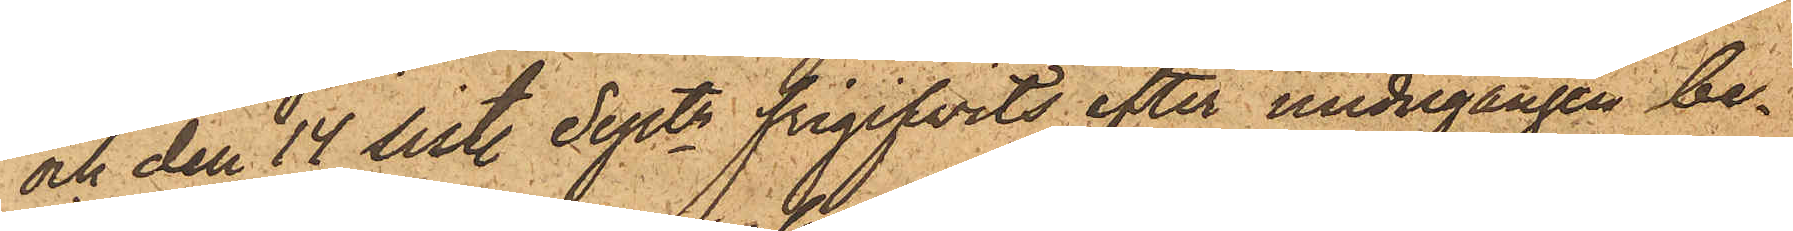och den 14 sist. Sept. frigifvits efter undergången be¬
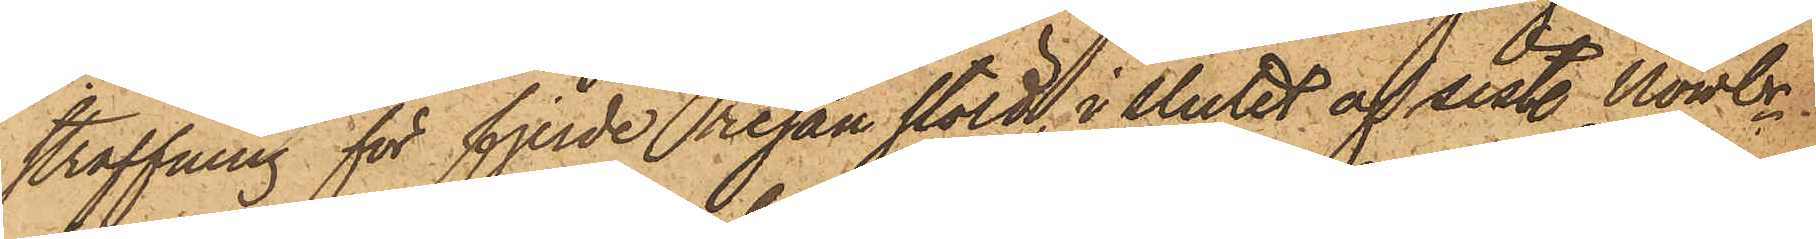straffning för fjerde resan stöld, i slutet af sist. Novbr
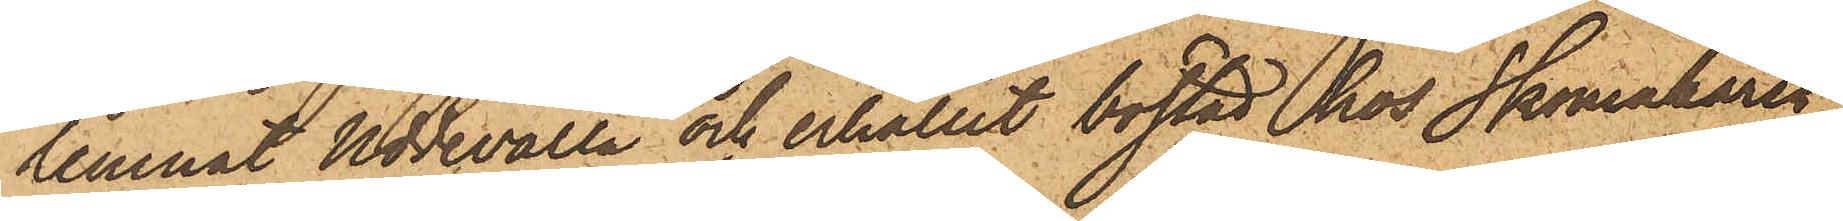lemnat Uddevalla och erhållit bostad hos Skomakaren
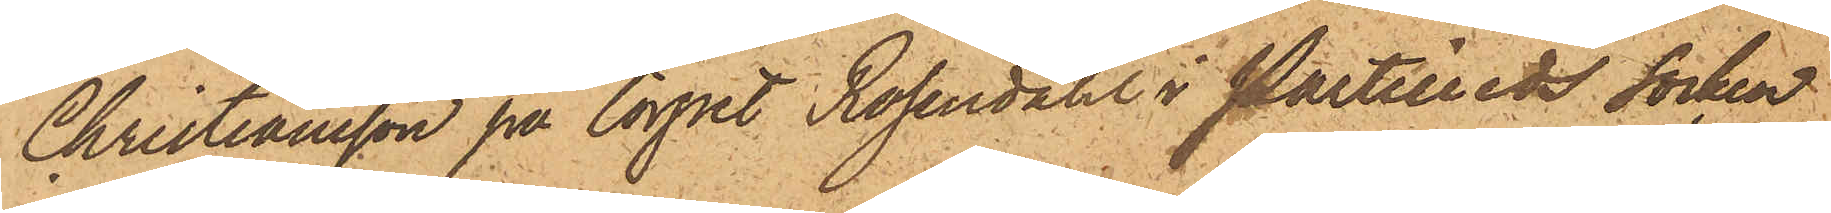Christiansson på torpet Rosendahl i Partilleds socken,
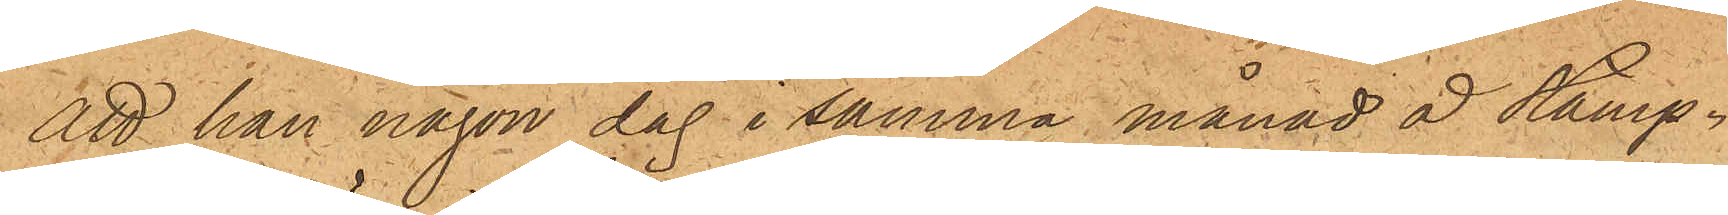att han någon dag i samma månad å Stamp¬
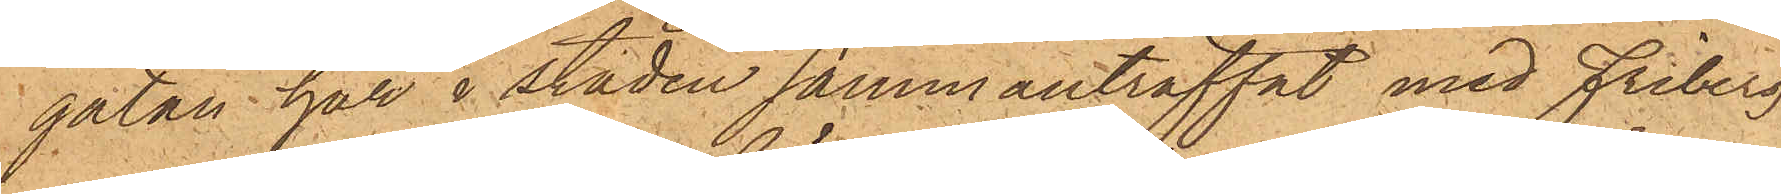gatan här i staden sammanträffat med Friberg,
